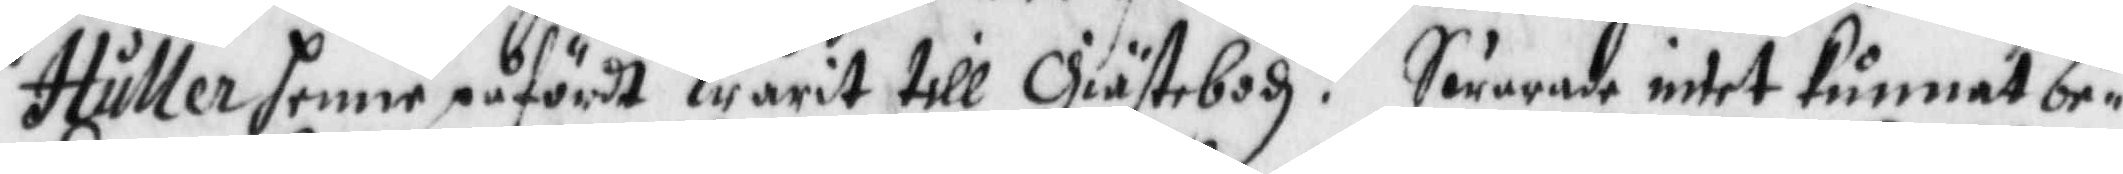Huller henne påfördt warit till Giästebodh? Swarade intet kunnat be¬
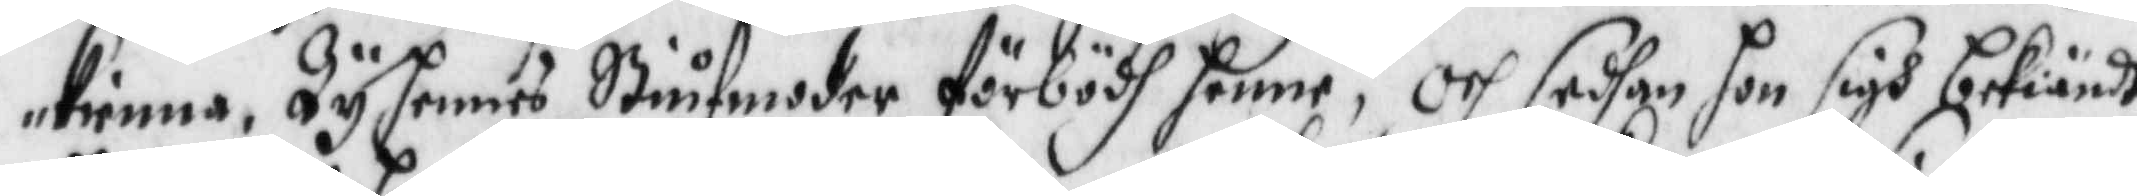kienna, dy hennes Stiufmoder förbödh henne; och sedhan hon sigh bekiändt
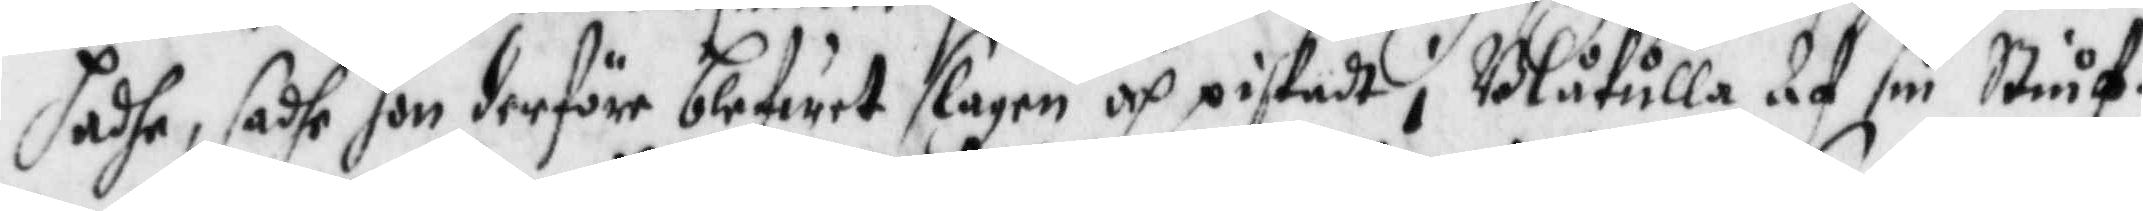hadhe, sadhe hon derföre blifwit slagen och piskadt i Blåkulla Af sin Stiuf¬
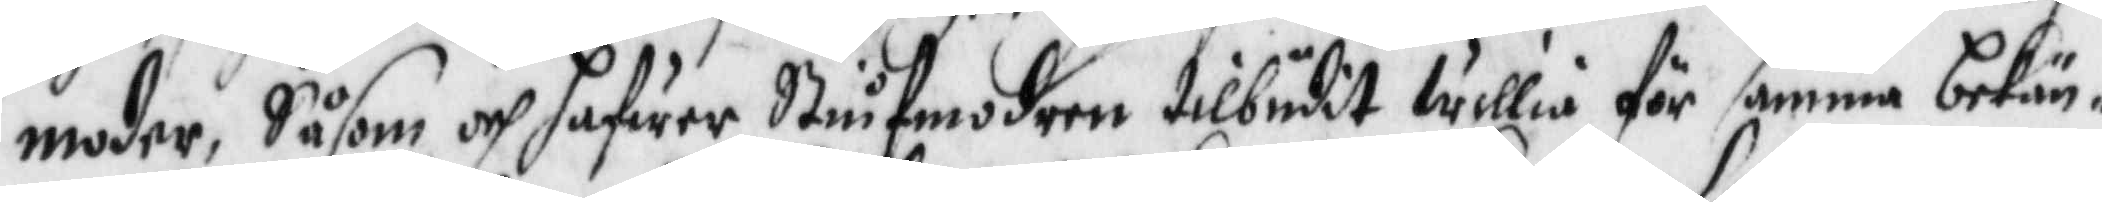moder, Såsom och hafwer Stiufmodern tilbudit willia för samma bekän¬
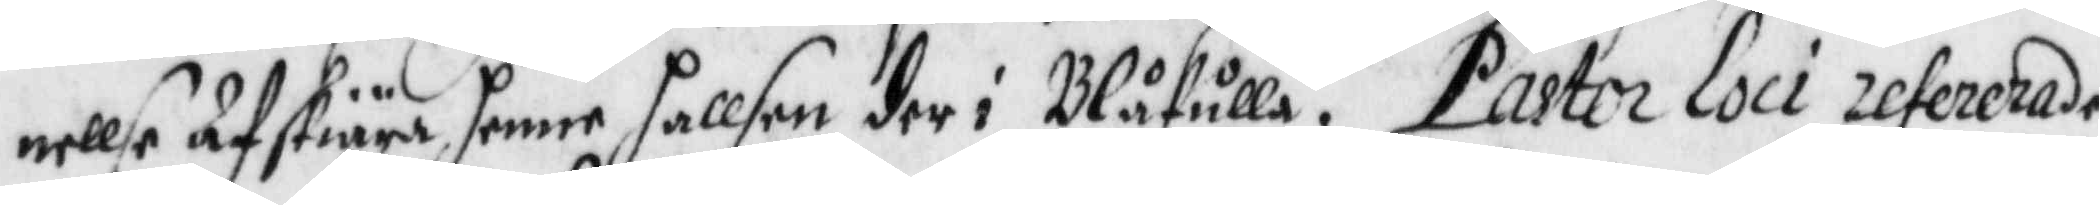nellse Afskiära henne hallsen der i Blåkulla, Pastor Loci refererade
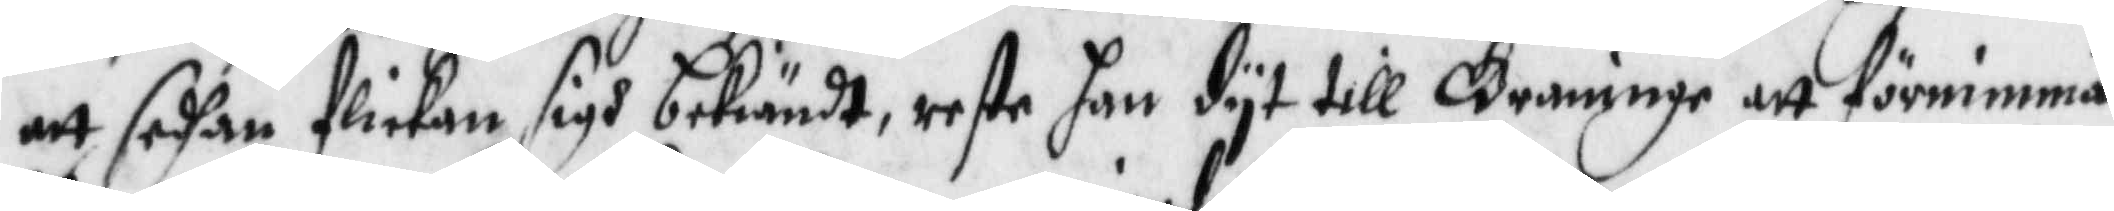att sedhan flickan sigh bekiändt, reste han dyt till Graningen att förnimma
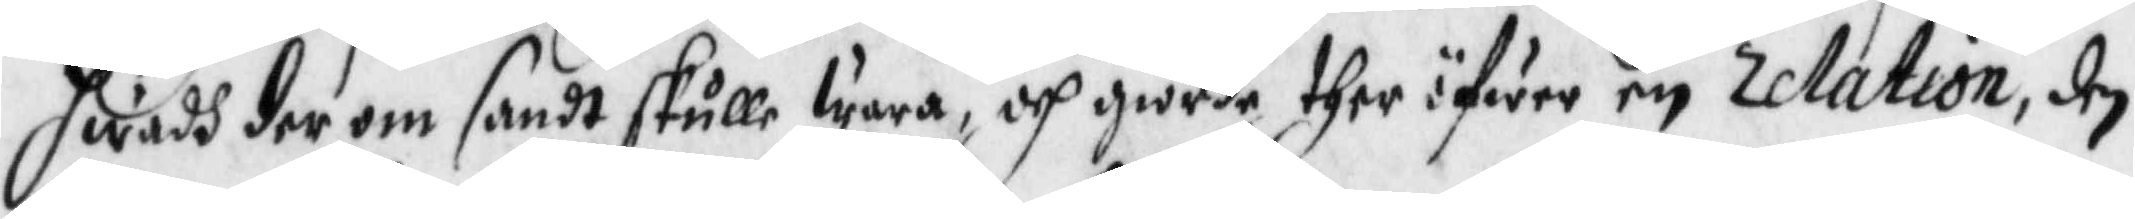hwadh der om sandt skulle wara, och giorde ther öfwer en relation, den
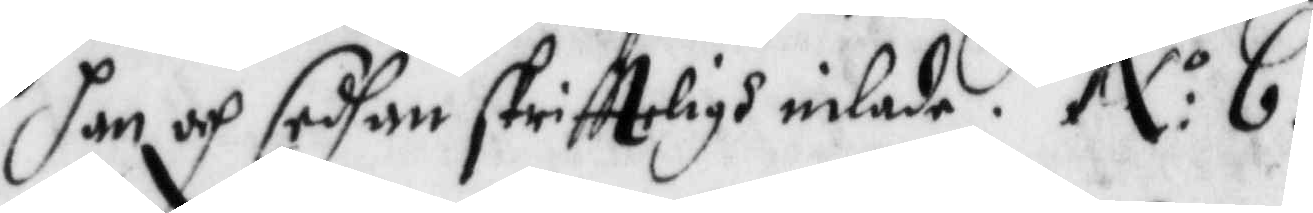han och sedhan skriftteligh inlade. N:o 6.
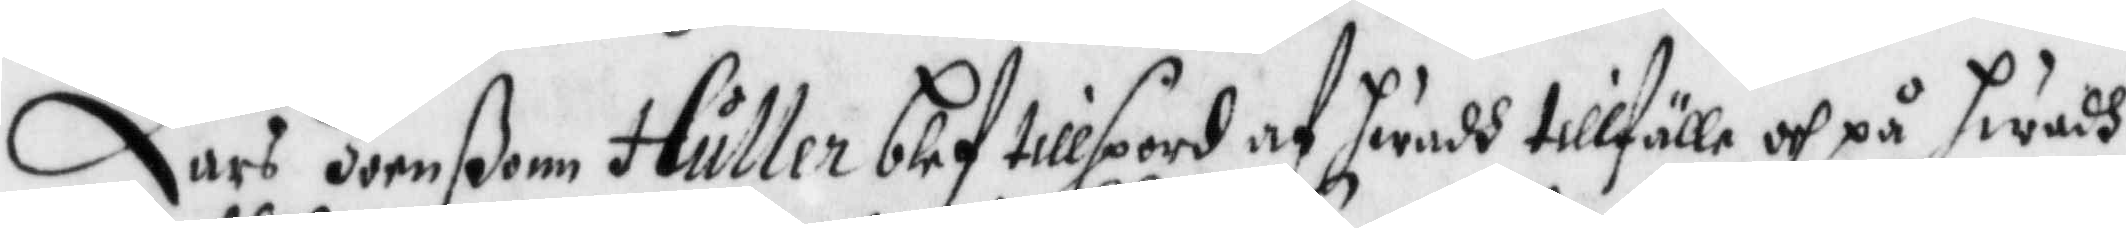Lars Joenßonn Huller blef tillspord ag hwadh tillfälle och på hwadh
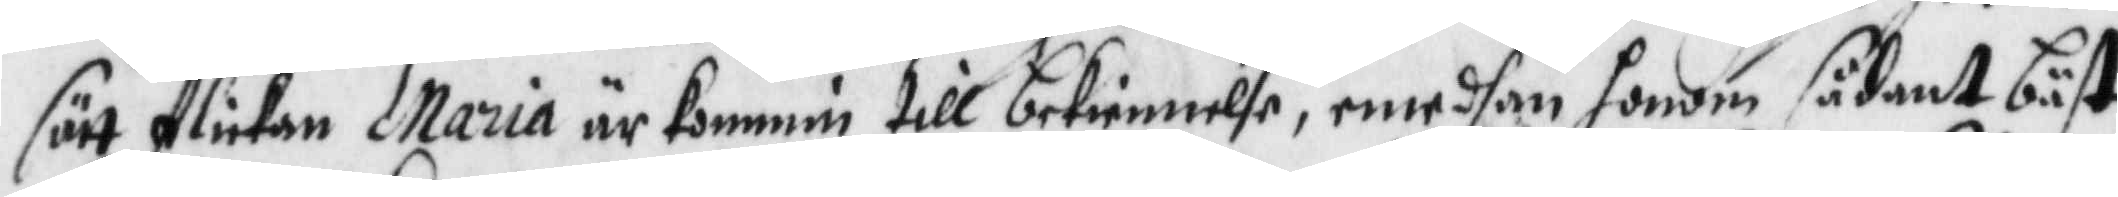sätt flickan Maria är kommin till bekiennelse, emedhan honom sådant båst
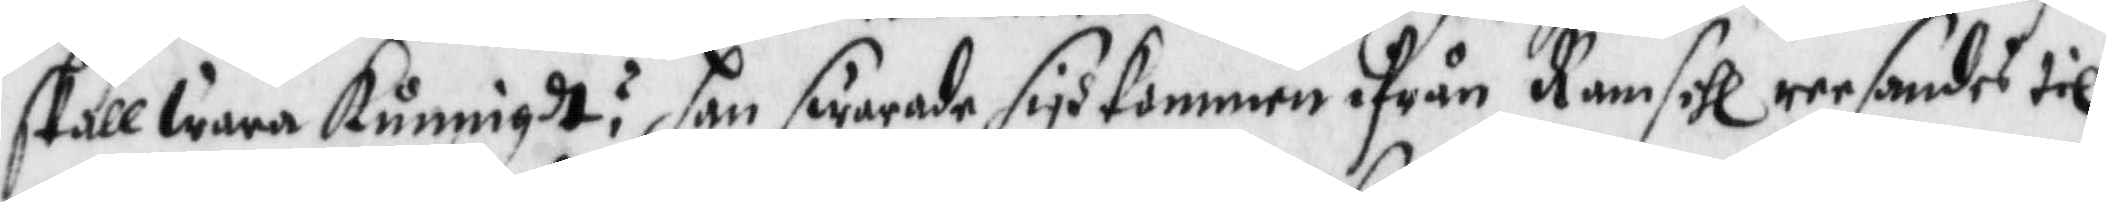skall wara kunnigdt? han swarade sigh kommen ifrån Ramsell reesandes til
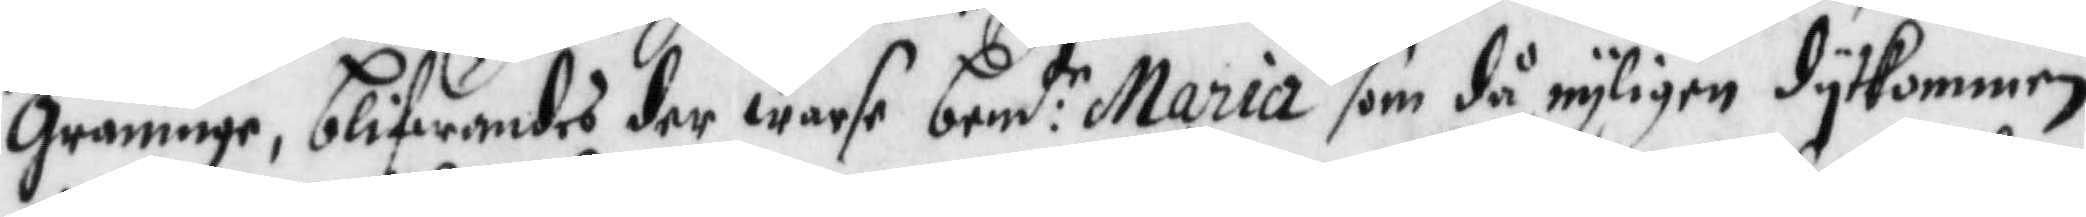Graninge, blifwandes der warse bem:de Maria som då nyligen dytkommen
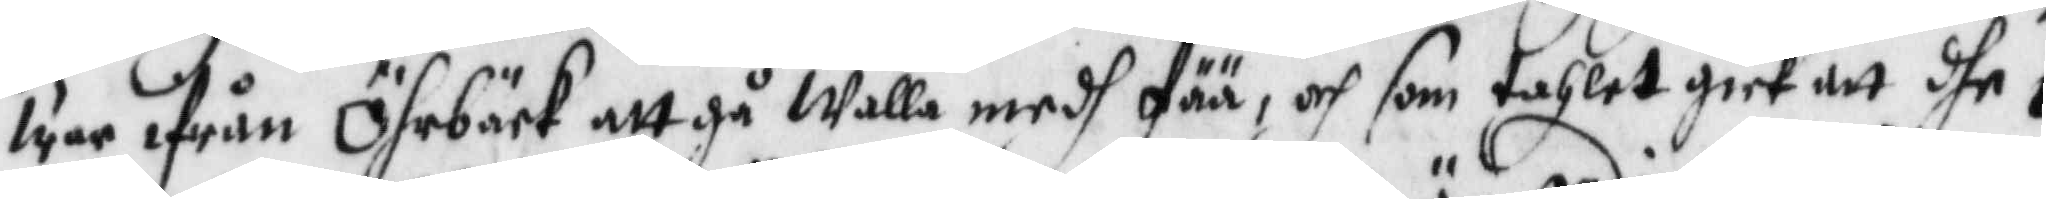war ifrån Öhrbäck att gå walla medh fää, och som tahlet gick att dhe i
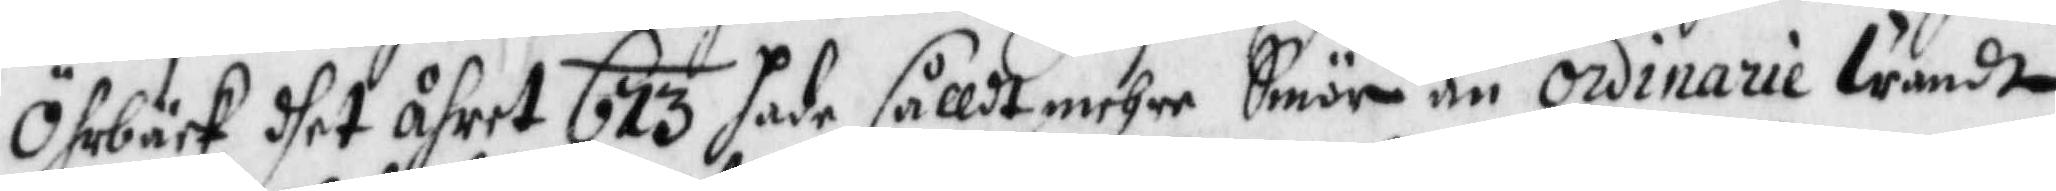Öhrbäck dhet åhret 673 hade sållt mehre Smör än ordinarie wandt
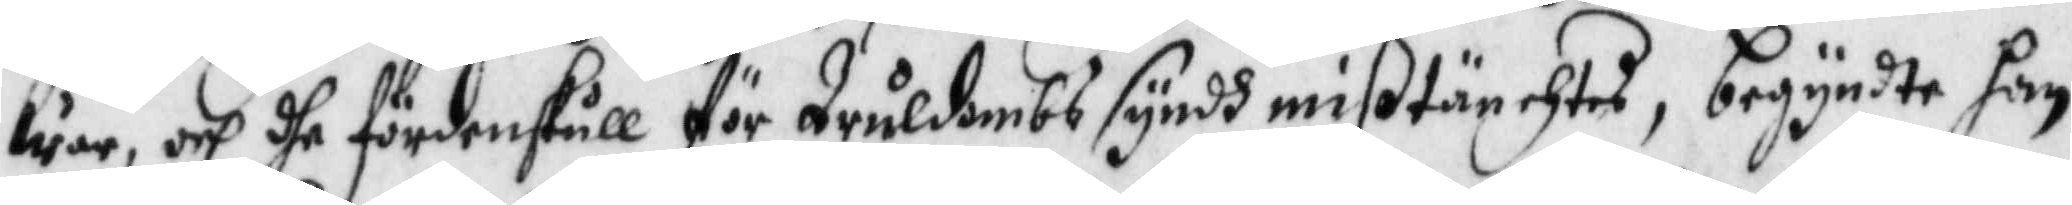war, och dhe fördenskull för Truldombs syndh mißtänchtes, begynte han
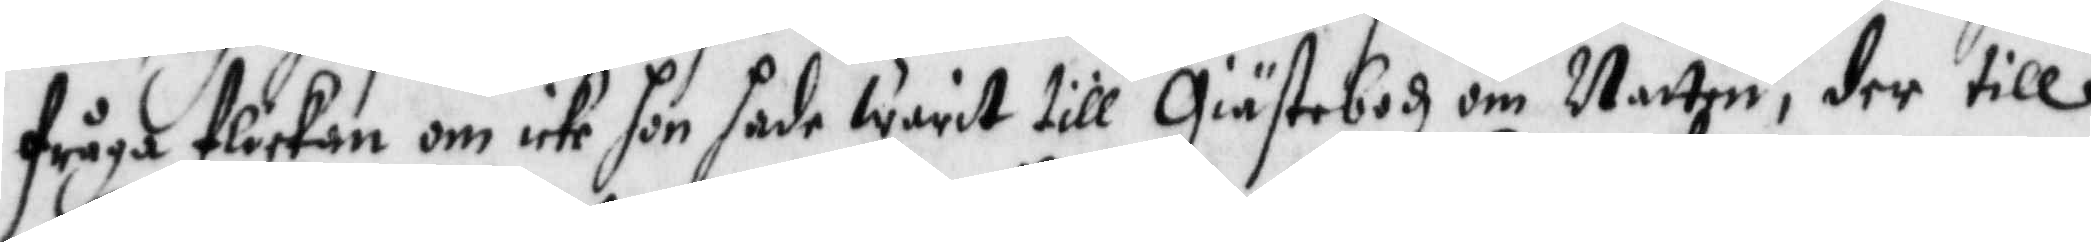fråga flickan om icke hon hade warit till Giästebodh om Natten, der till
